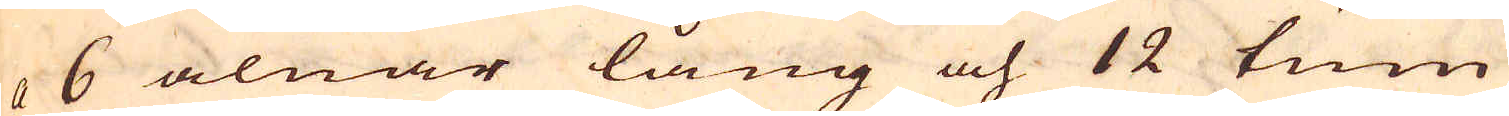a 6 alnar lång och 12 tum
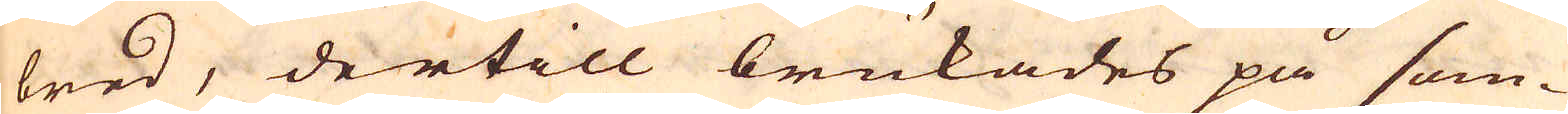bred, dertill brukades på som-
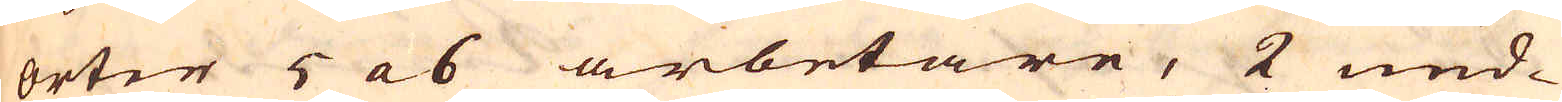orter 5 a 6 arbetare, 2 und-
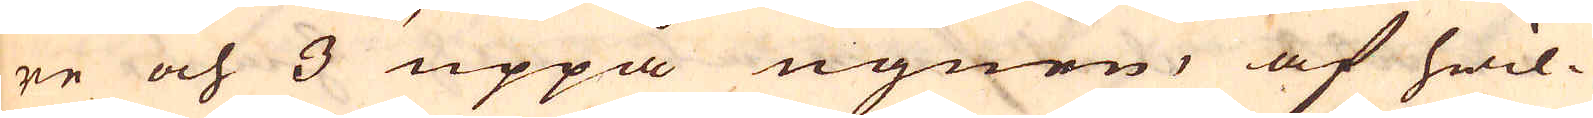re och 3 uppå ugnen, af hwil-
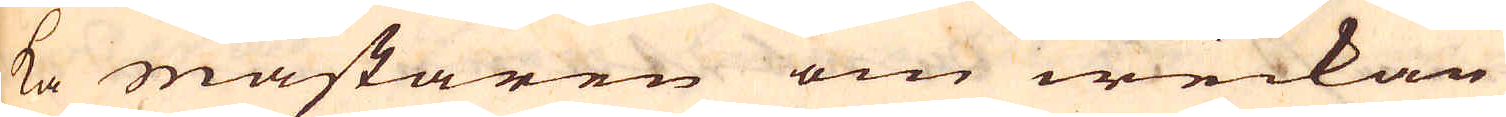ka mästaren om weckan
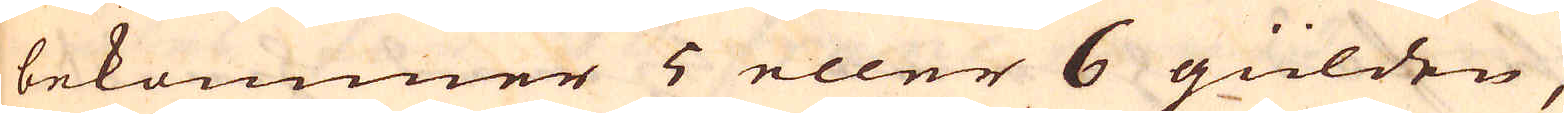bekommer 5 eller 6 gülden,
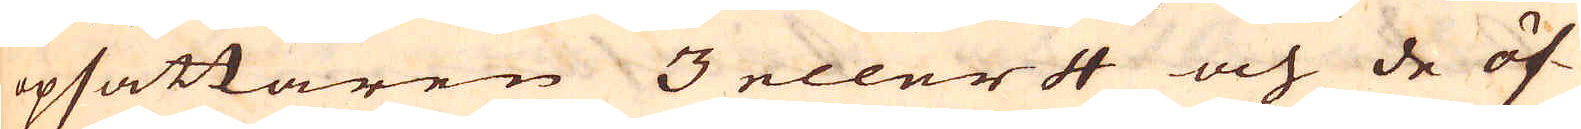opsättaren 3 eller 4 och de öf-
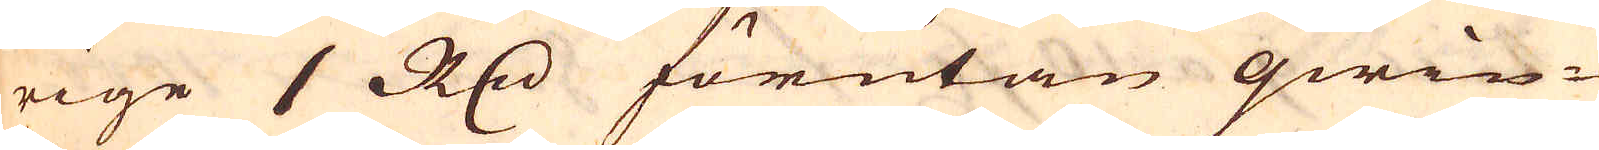rige 1 R:dr förutan qwin-
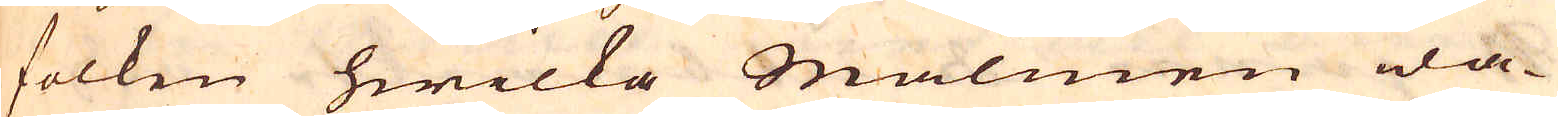folken hwilka Malmen wa-
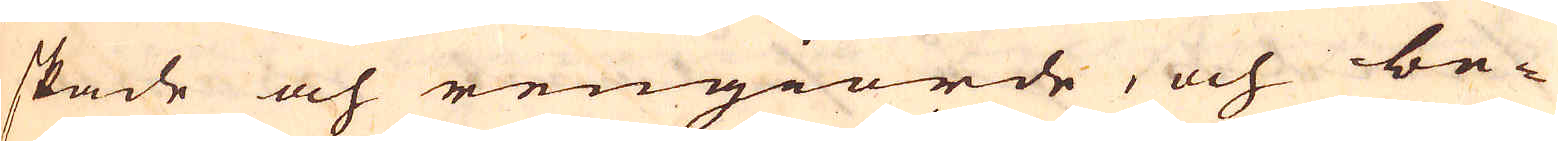skade och rengiorde, och be-
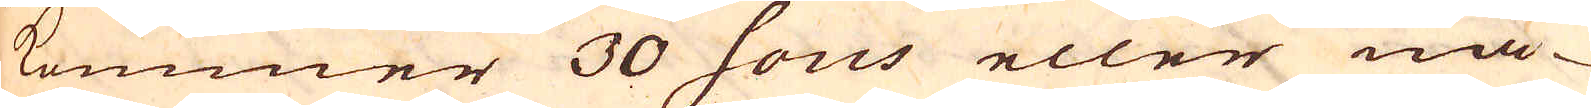kommer 30 sous eller nå-
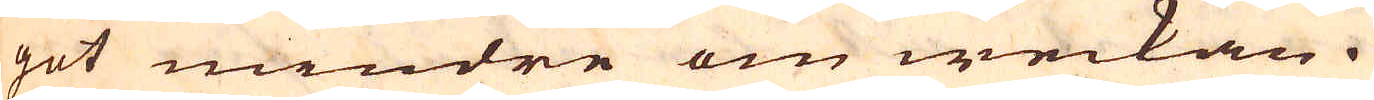got mindre om weckan.
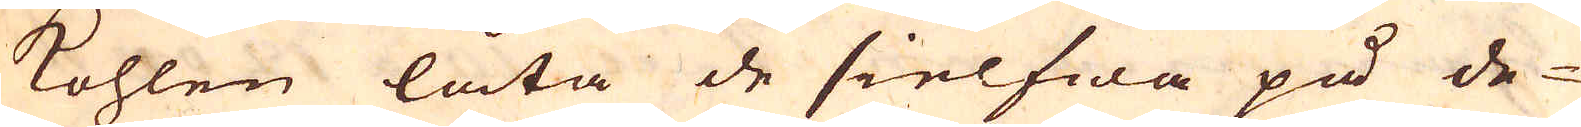kohlen låta de sielfwa på de-
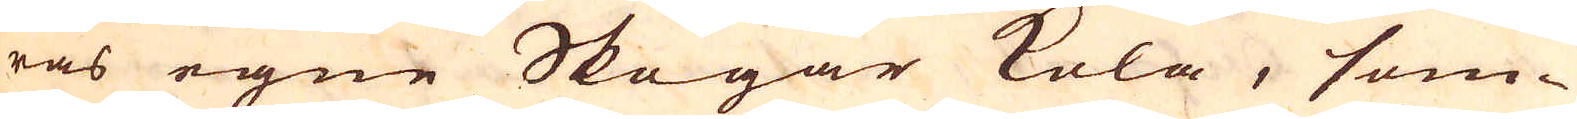ras egne Skogar kola, som-
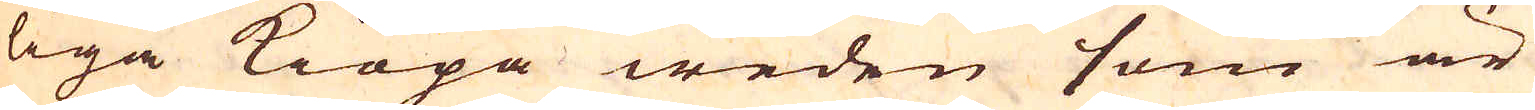liga kiöpa weden som är
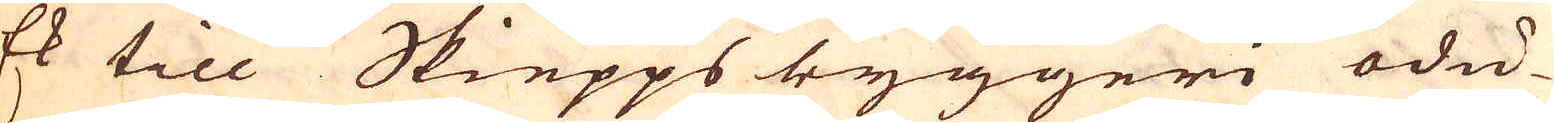Ek till Skiepps byggeri ödu-
